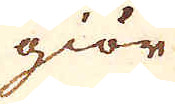giör
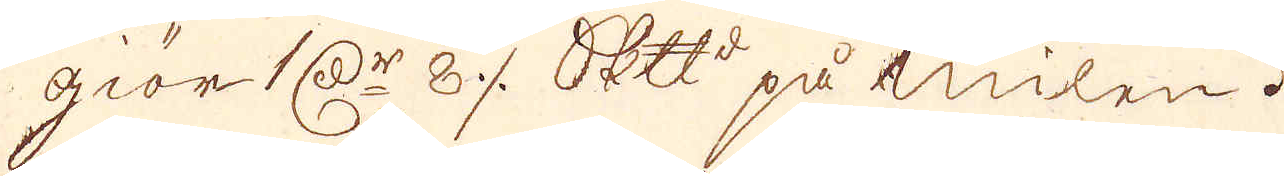giör 1 Dr 8 ⁒ Skeppund på milen.
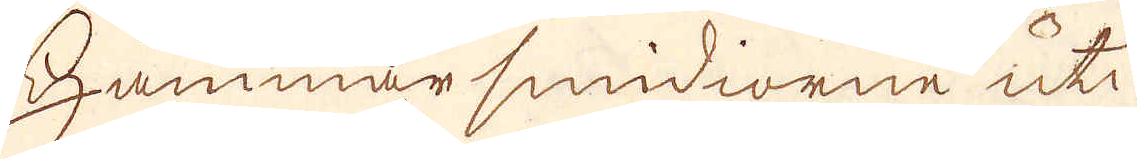Hammar smidiorne uti
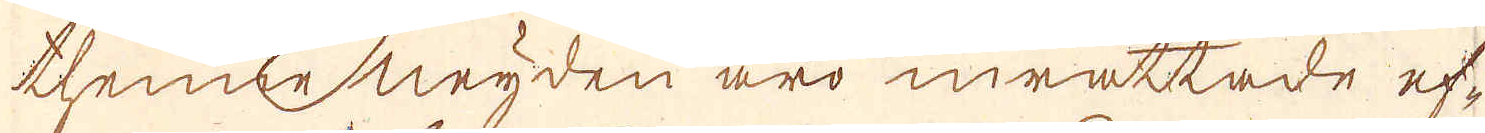thene neyden äro inrättade ef-
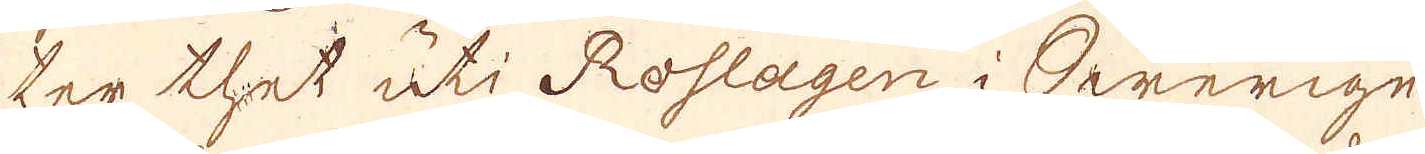ter thet uti Roslagen i Swerige
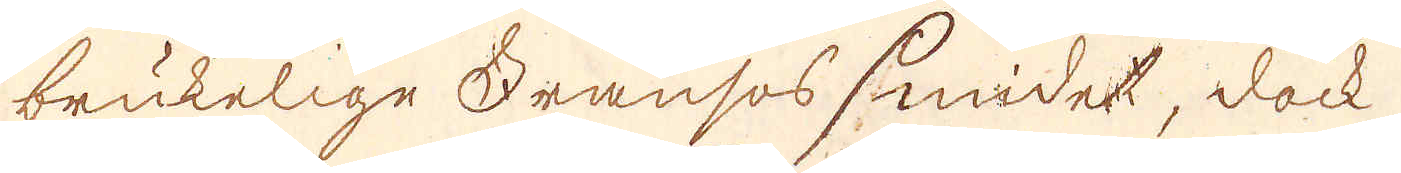brukelige Fransos smidet, dock
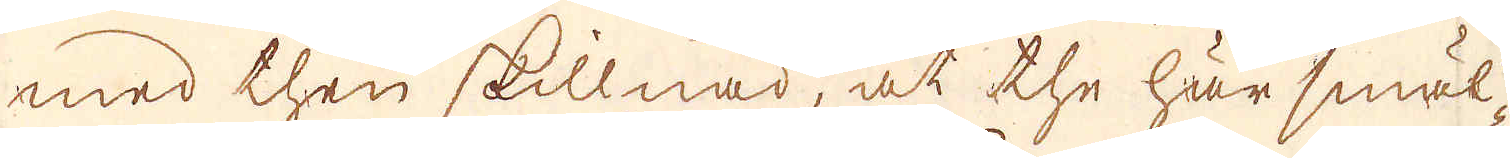med then skillnad, at the här smäl-
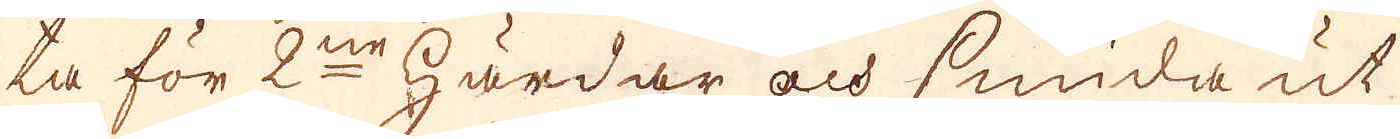ta för 2ne härdar och smida ut
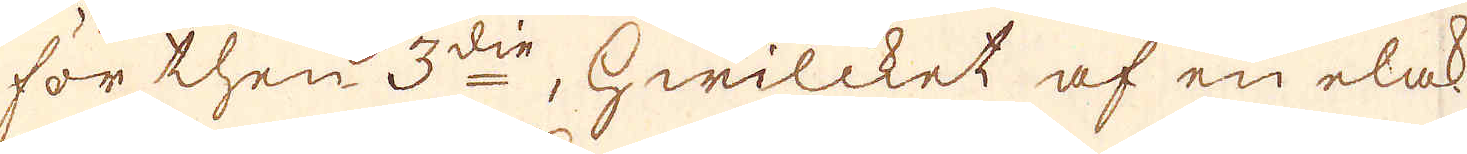för then 3de, hwilcket af en elak
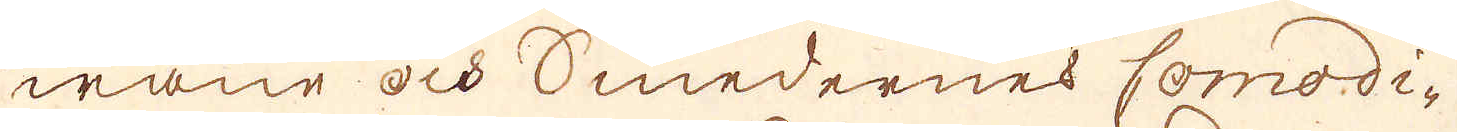wane och Smedernes Comodi-
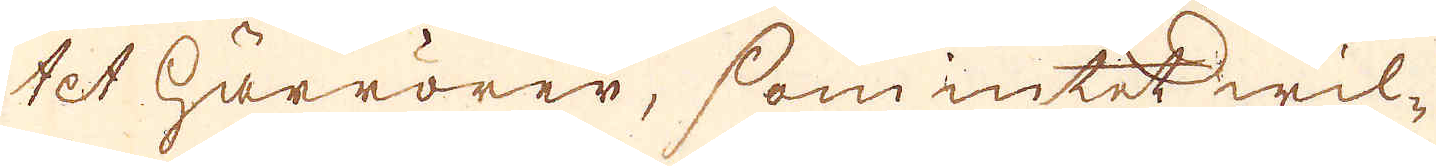tet härrörer, som intet wil-
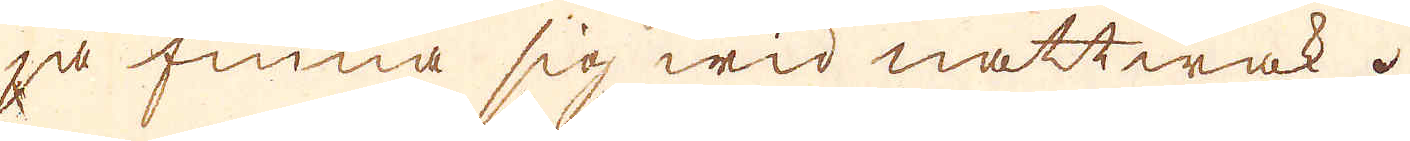ja finna sig wid nattwak.
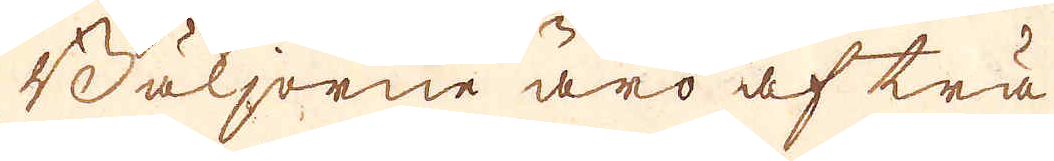Baljorne äro af trä
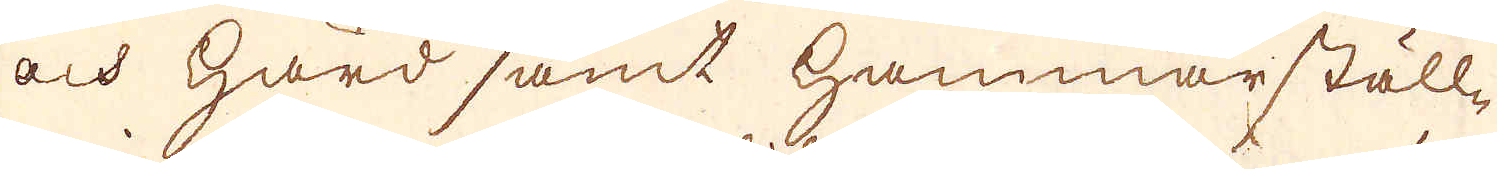och hörd samt Hammarställ-
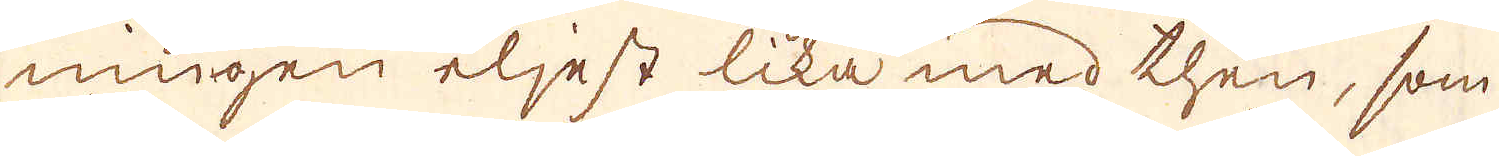ningen eljest lika med then, som
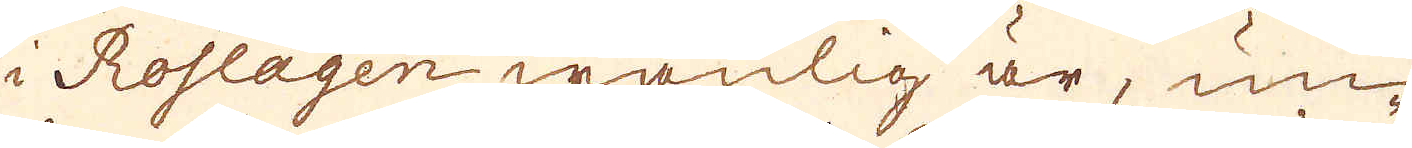i Roslagen wanlig är, un-
